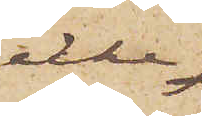icke
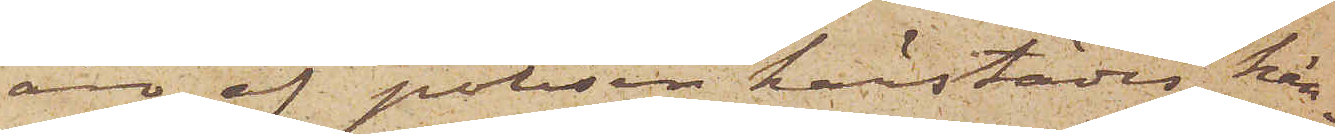äro af polisen härstädes kän¬
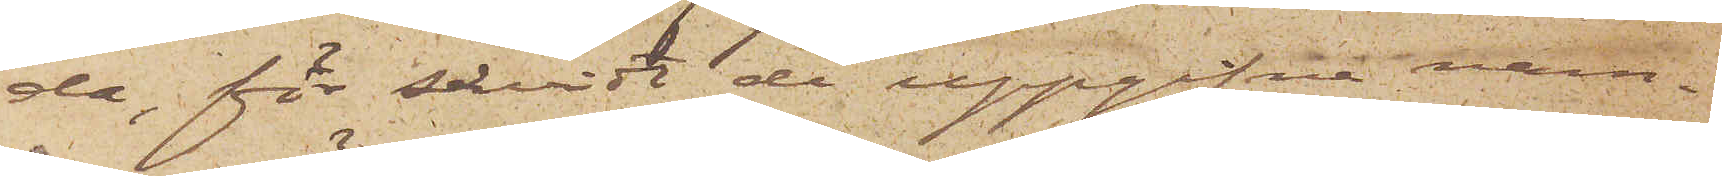da, för såvidt de uppgifne nam¬
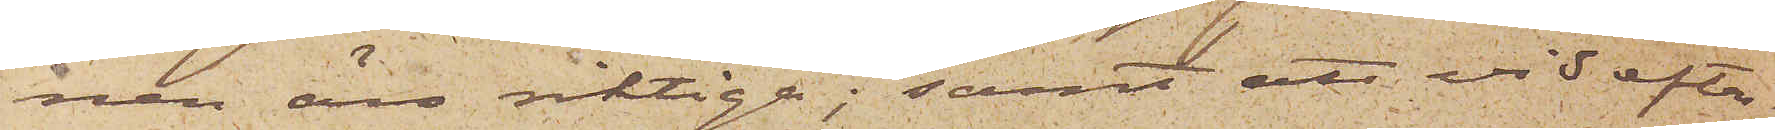nen äro riktiga; samt att vid efter¬
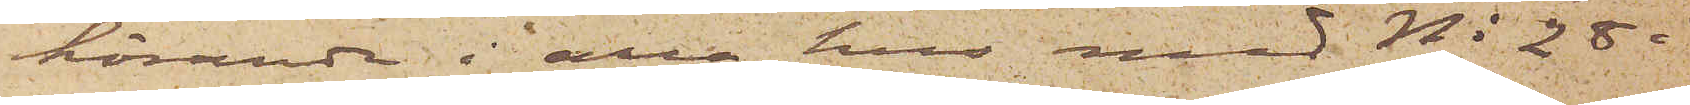hörande i alla hus med No 28 i
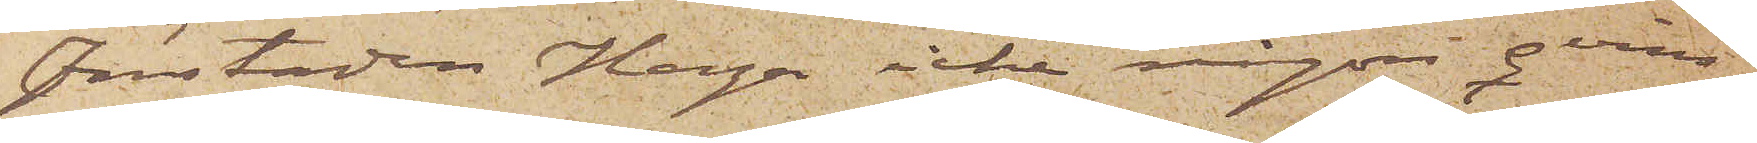Förstaden Haga, icke någon qvins¬
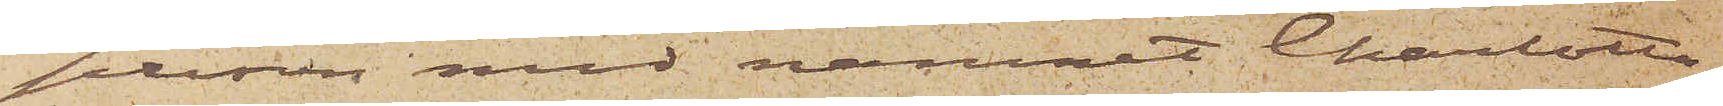person med namnet Charlotta
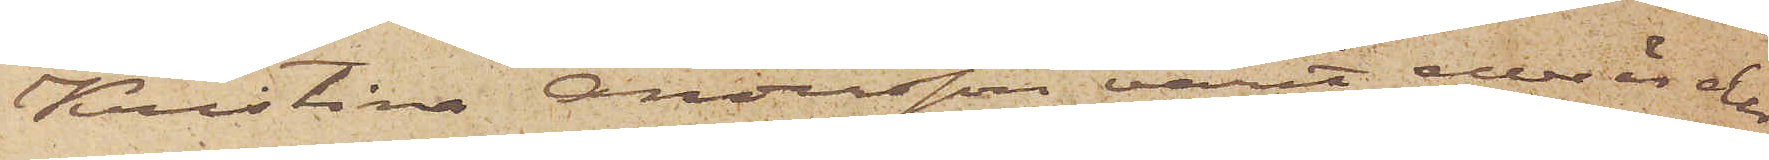Kristina Andersson varit eller är der
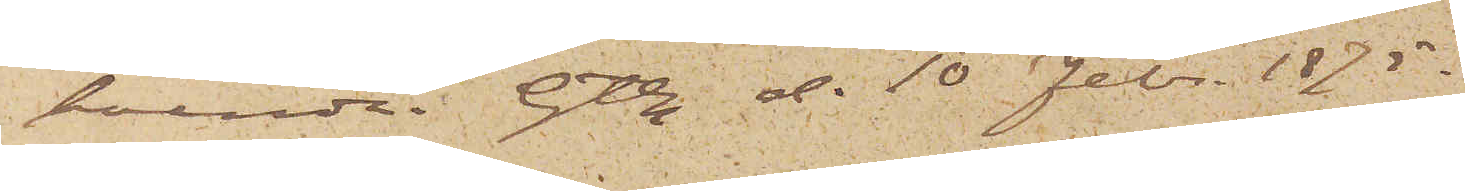boende. Gtbg d. 10 Febr. 1875.
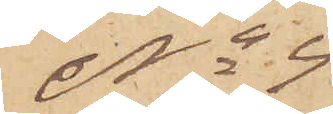No 4
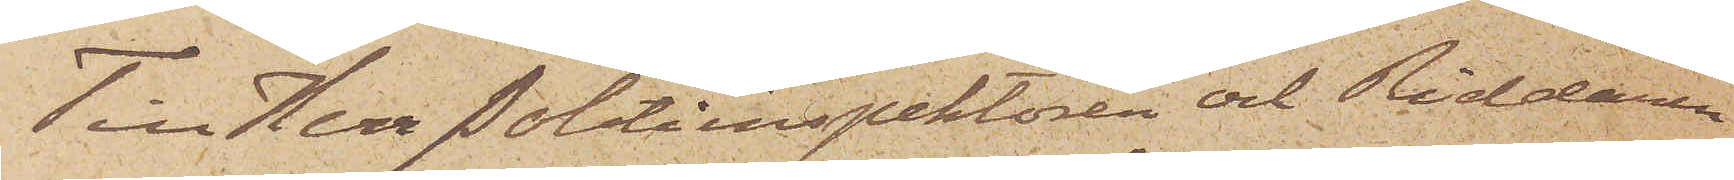Till Herr Politiinspektören och Riddaren
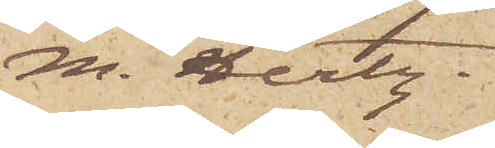M. Hertz.
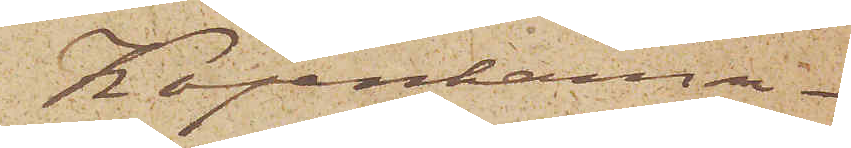Köpenhamn
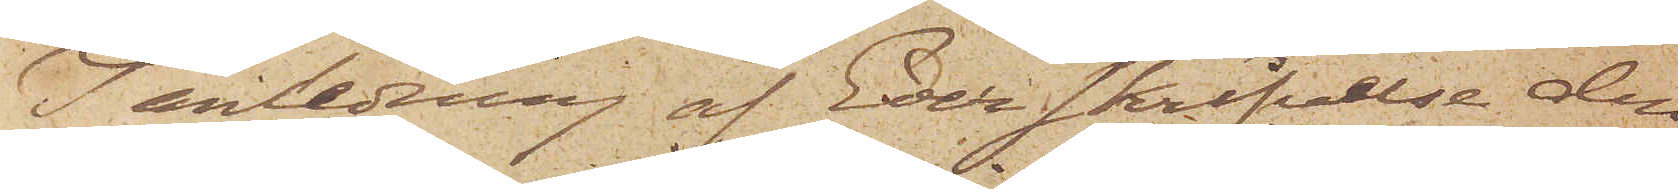I anledning af Eder skrifvelse den
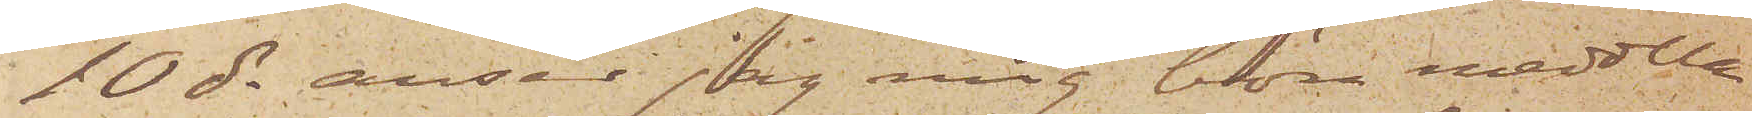10 ds anser jag mig böra meddela
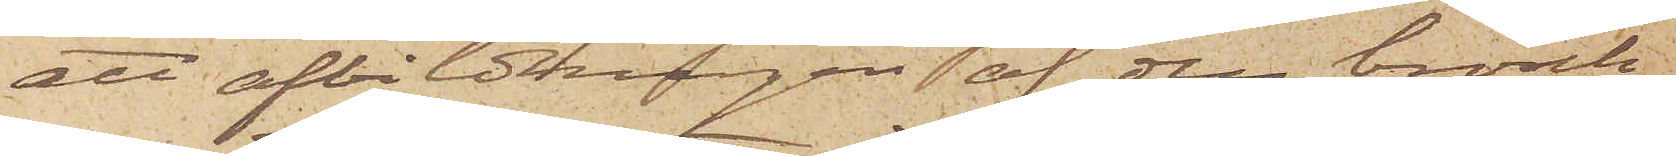att afbildningen af den brosch,
